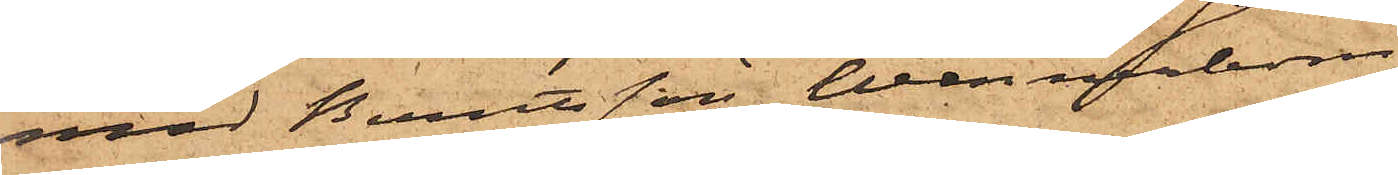med Berntsson Wennerbom
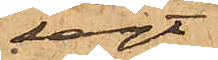sagt
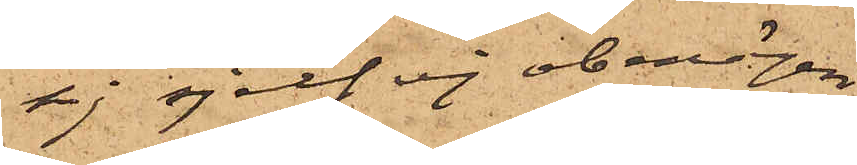sig sjelf ej obenägen
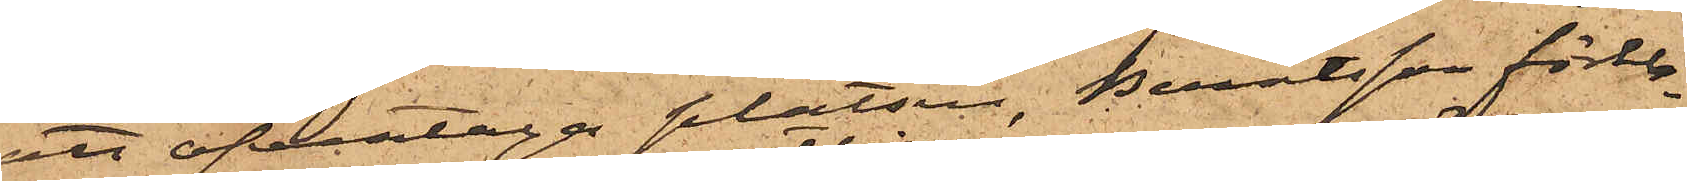att öfvertaga platsen, Berntsson förkla¬
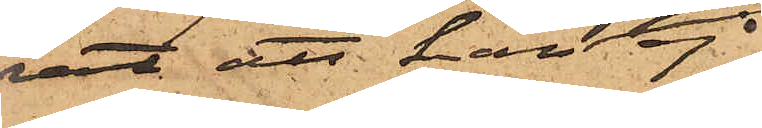rat att han 
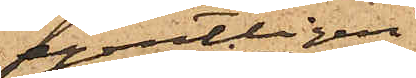egentligen ej
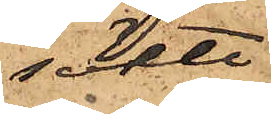sökte
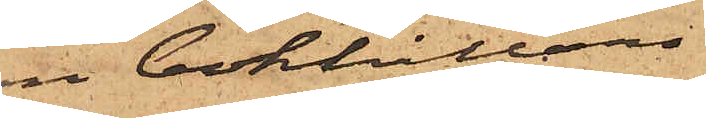en bokhållare
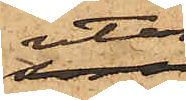utan
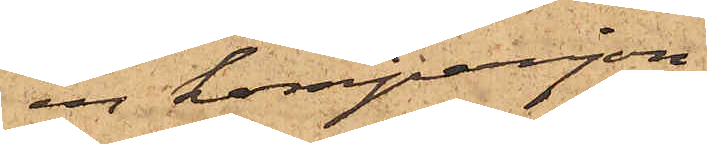en kompanjon
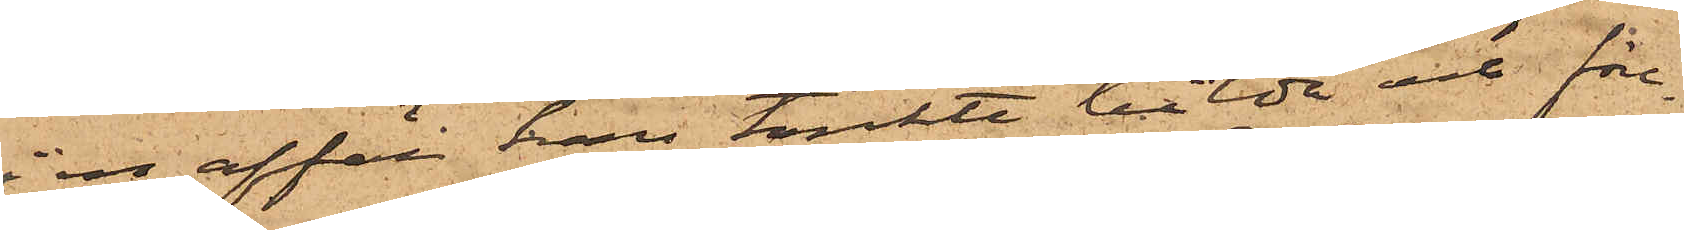i en affär han tänkte bilda och före¬
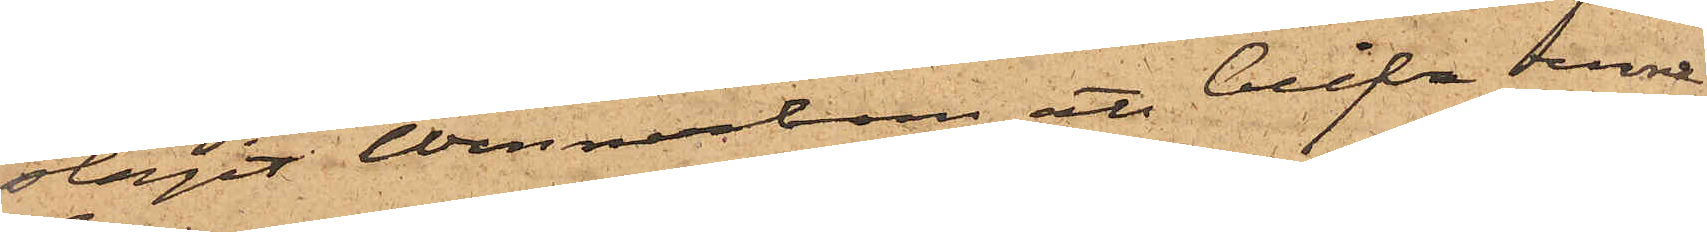slagit Wennerbom att blifva denna
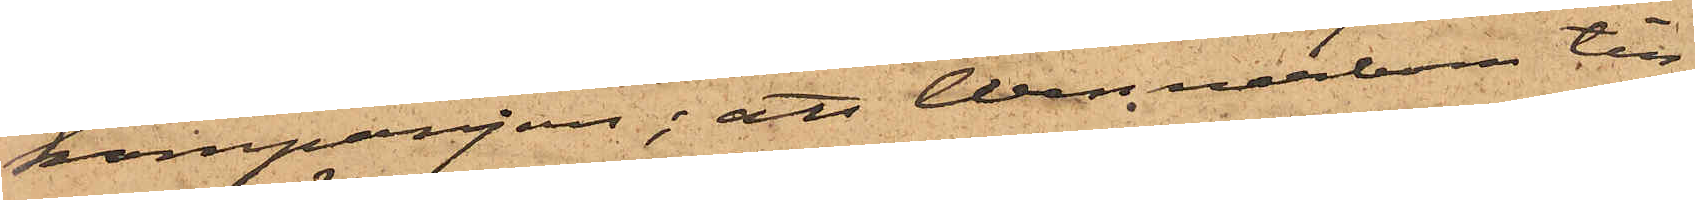kompanjon; att Wennerbom till
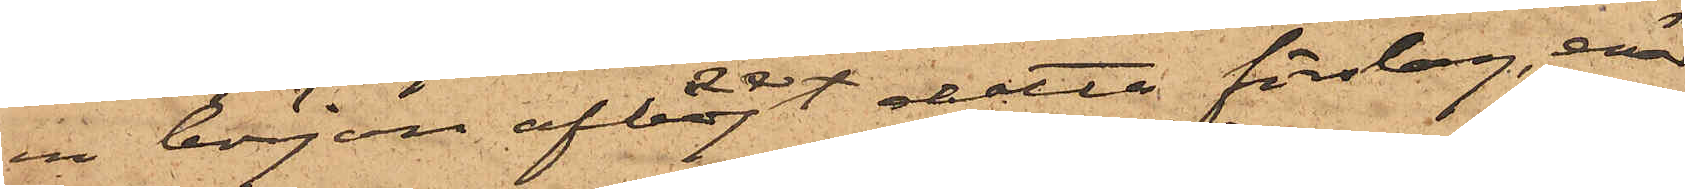en början afböjt detta förslag, enär
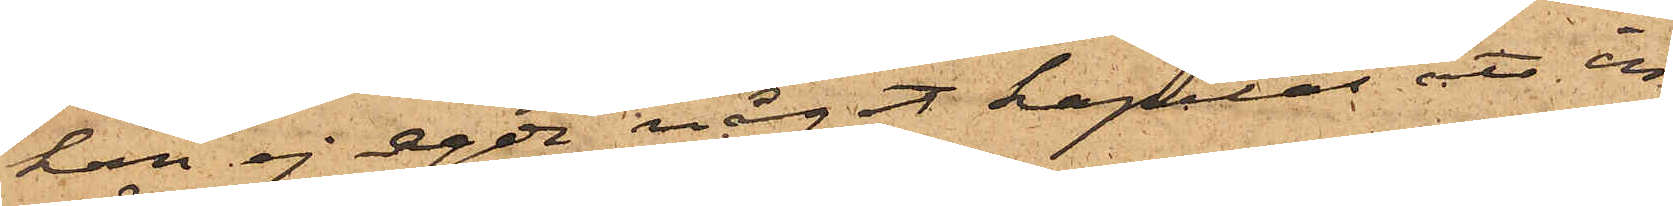han ej egde något kapital att in¬
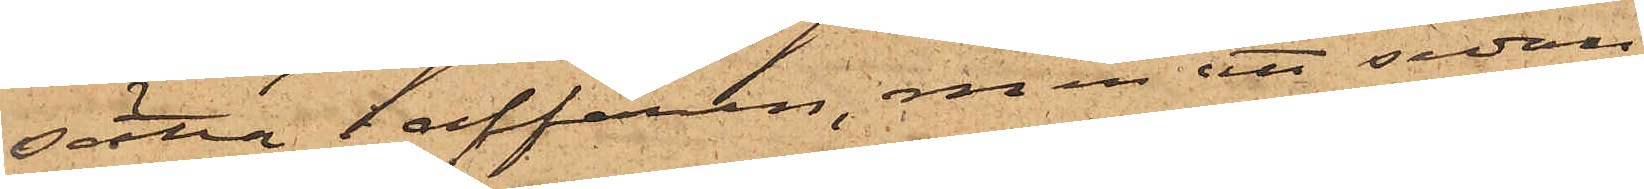sätta  i affären, men att sedan
